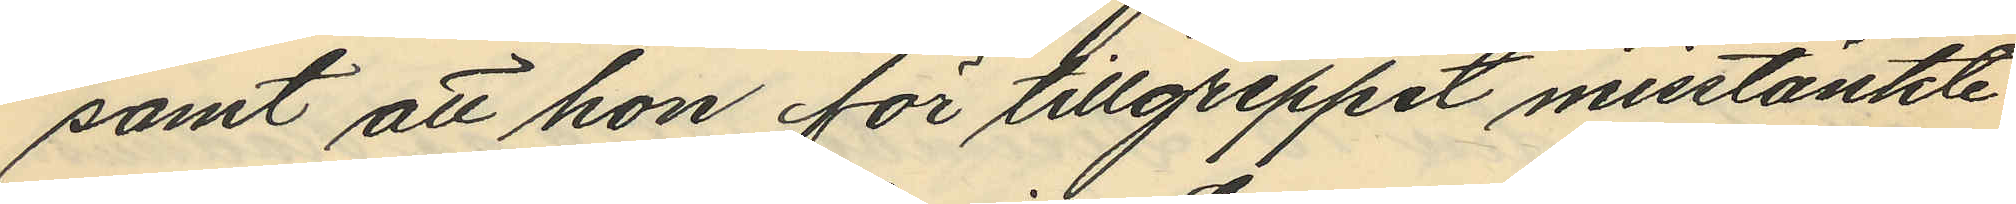samt att hon för tillgreppet misstänkte
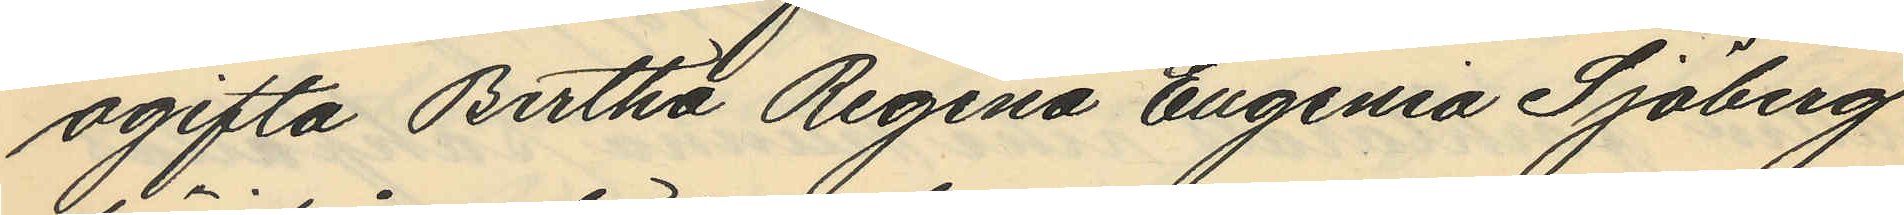ogifta Bertha Regina Eugenia Sjöberg
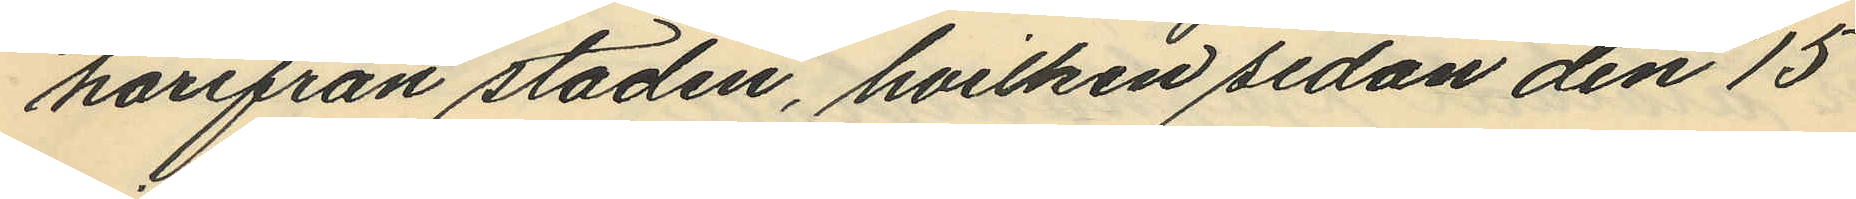härifrån staden, hvilken sedan den 15
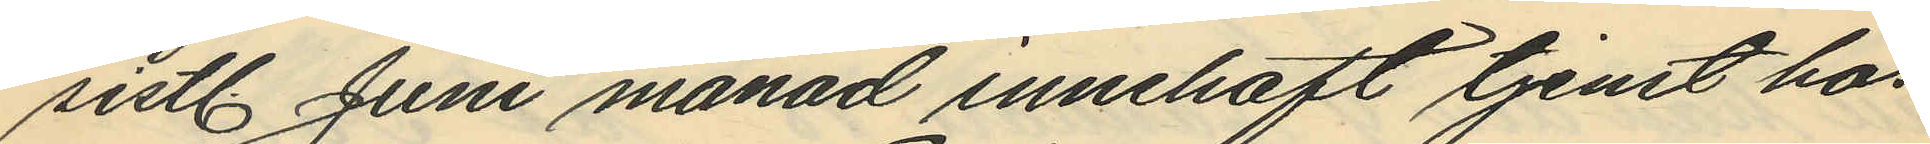sistl. Juni månad innehaft tjenst hos
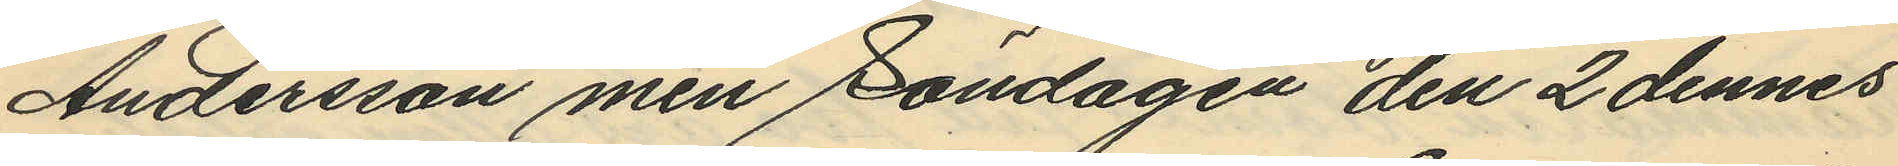Andersson men Söndagen den 2 dennes
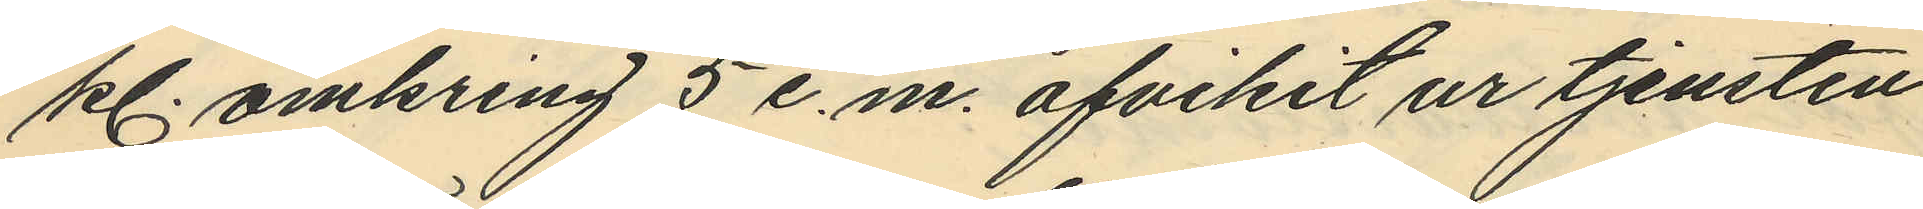kl. omkring 5 e.m. afvikit ur tjensten
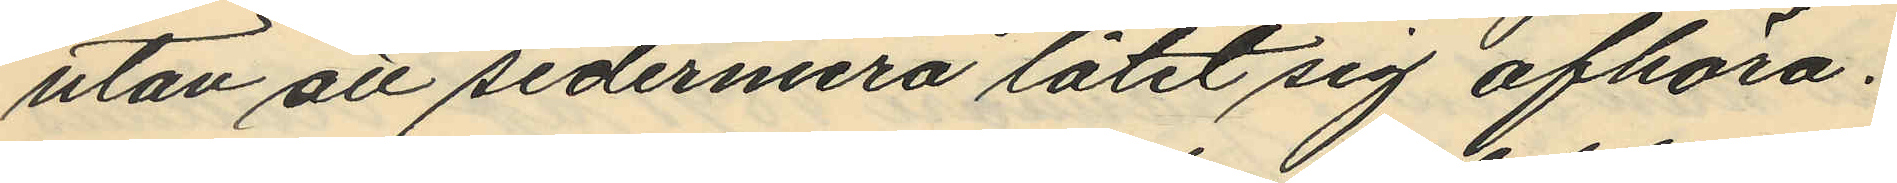utan att sedermera låtit sig afhöra.
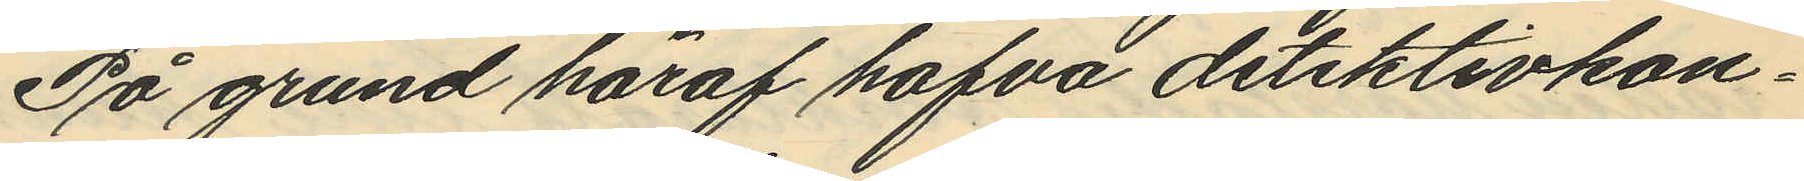På grund häraf hafva detektivkon¬
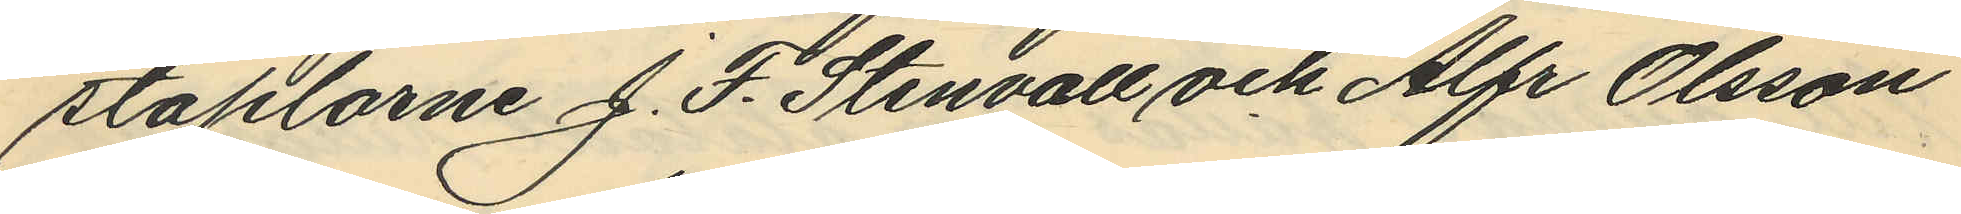staplarne J. F. Stenvall och Alfr Olsson
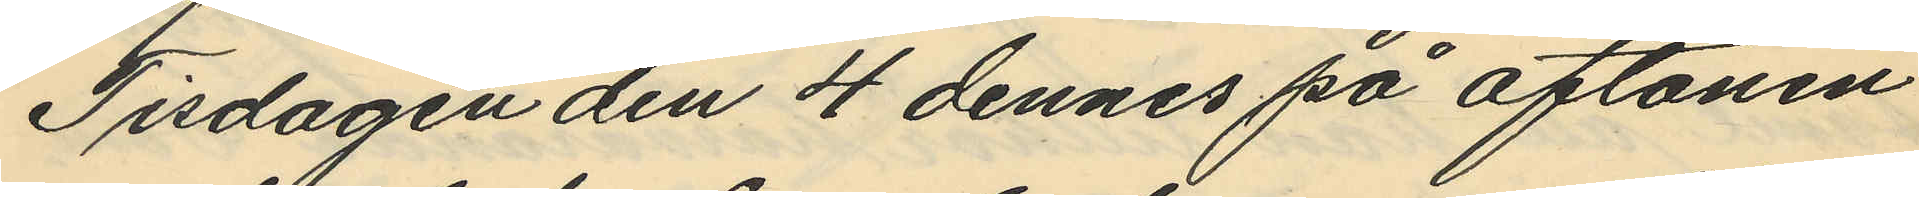Tisdagen den 4 dennes på aftonen
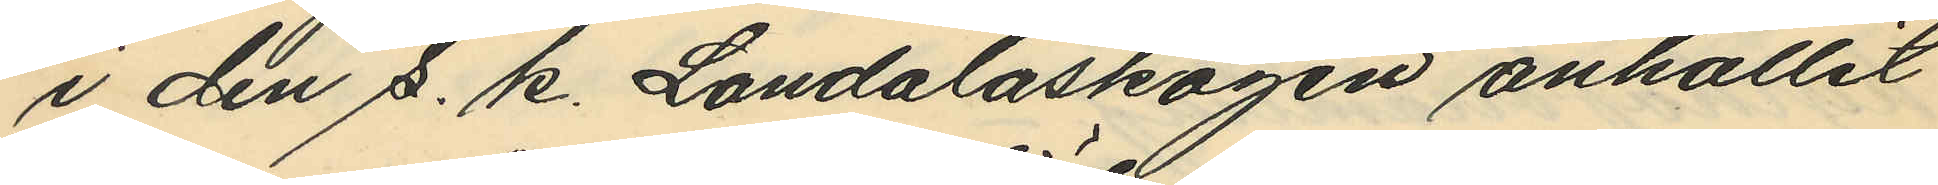i den s. k. Landalaskogen anhållit
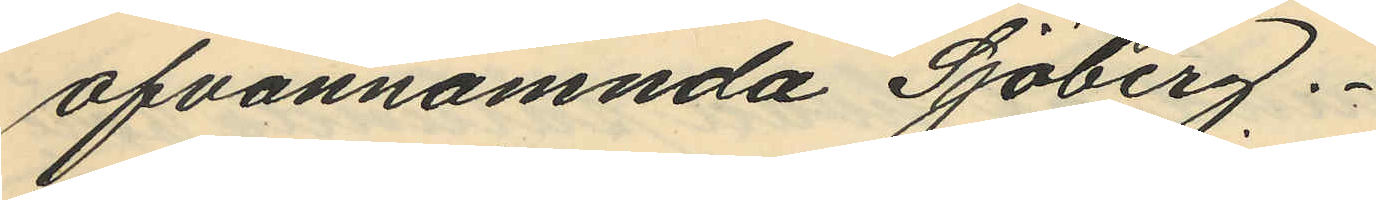ofvannämnda Sjöberg.
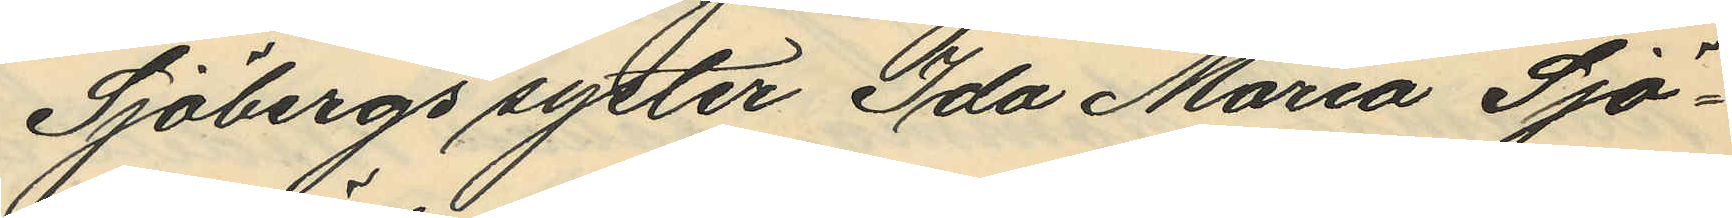Sjöbergs syster Ida Maria Sjö¬
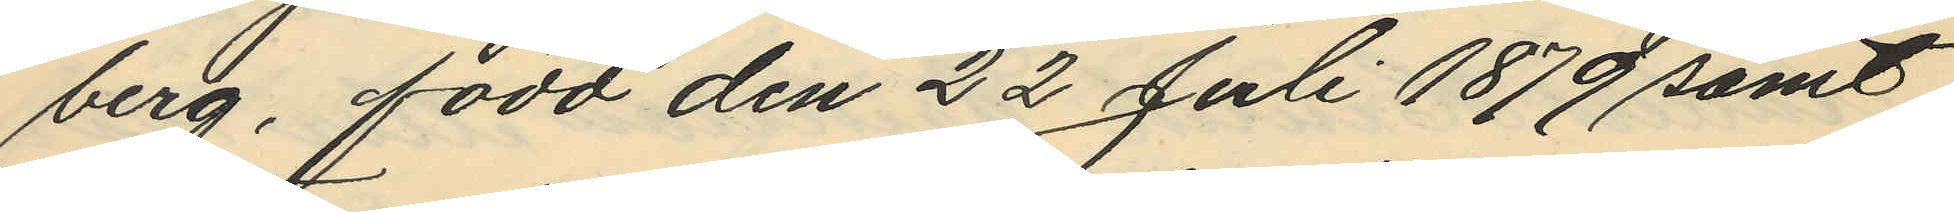berg, född den 22 Juli 1879 samt
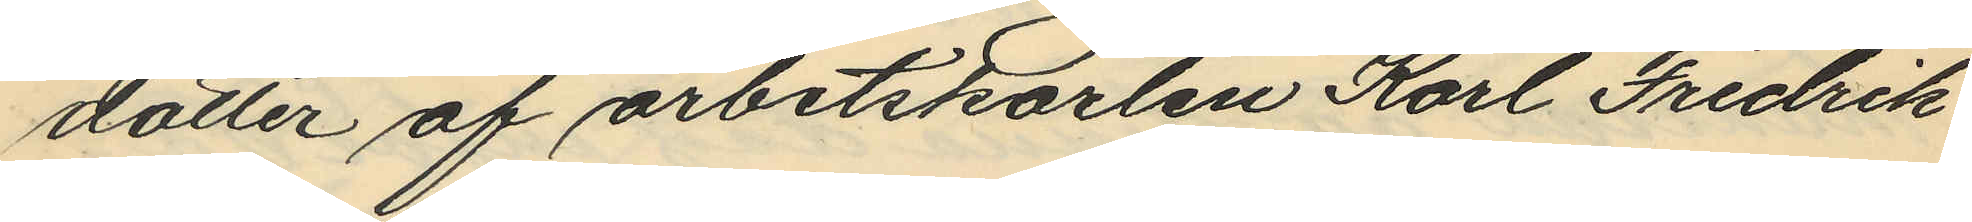dotter af arbetskarlen Karl Fredrik
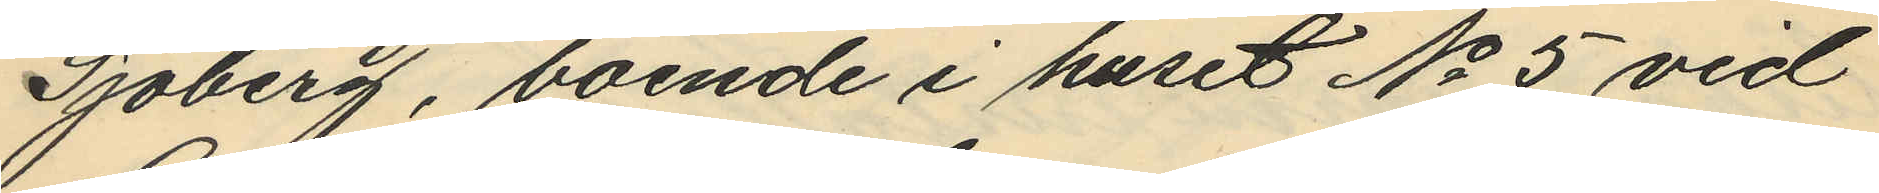Sjöberg, boende i huset No 5 vid
